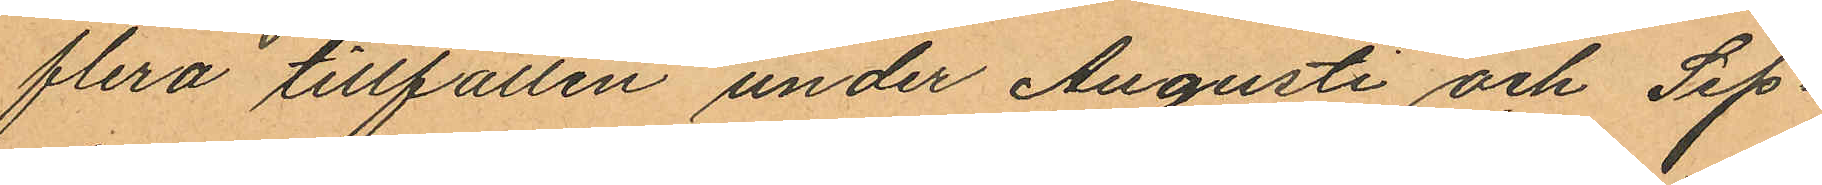flera tillfällen under Augusti och Sep¬
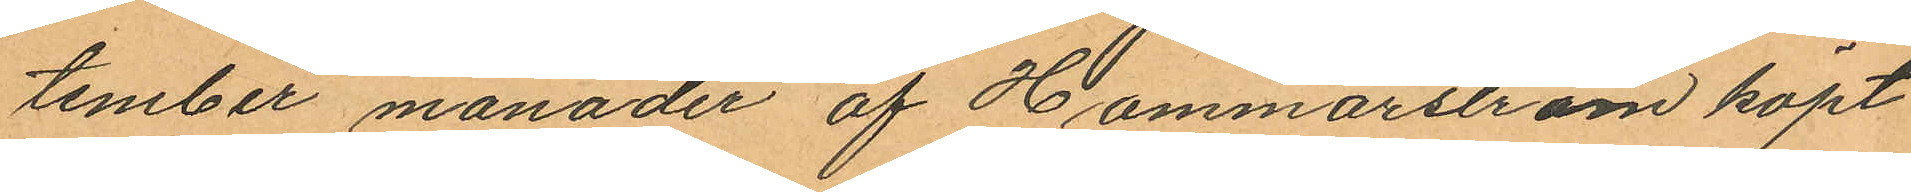tember månader af Hammarström köpt
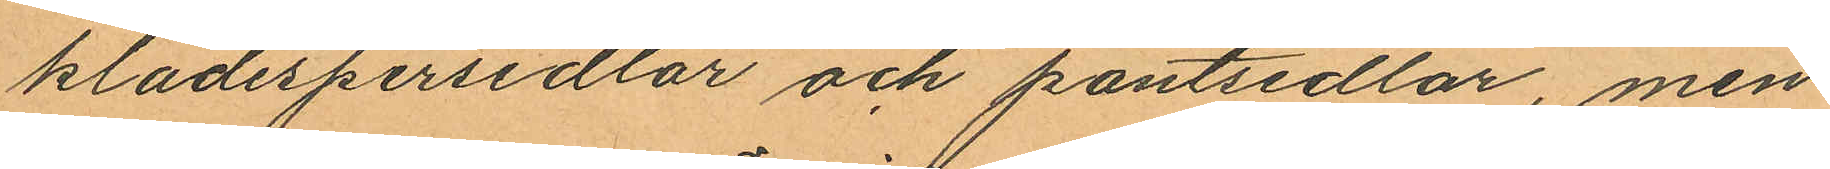klädespersedlar och pantsedlar, men
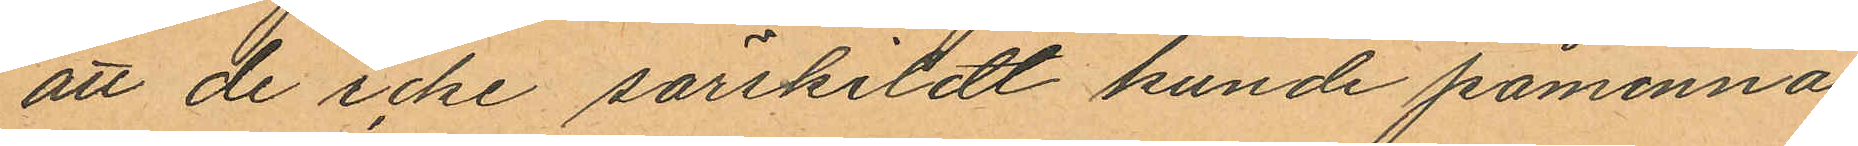att de icke särskildt kunde påminna
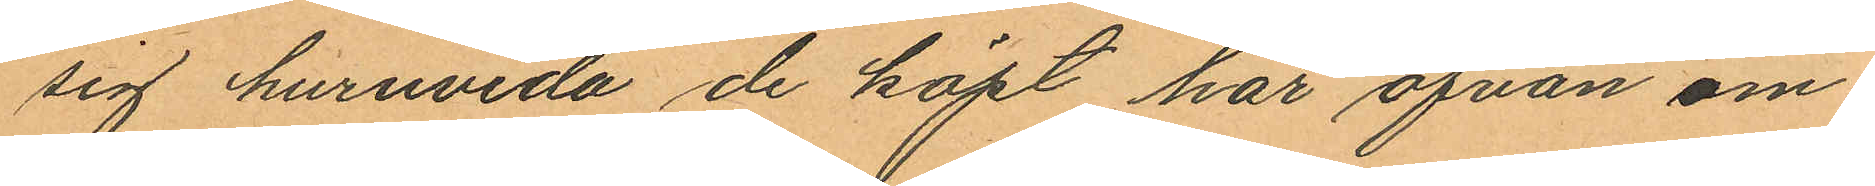sig huruvida de köpt här ofvan om¬
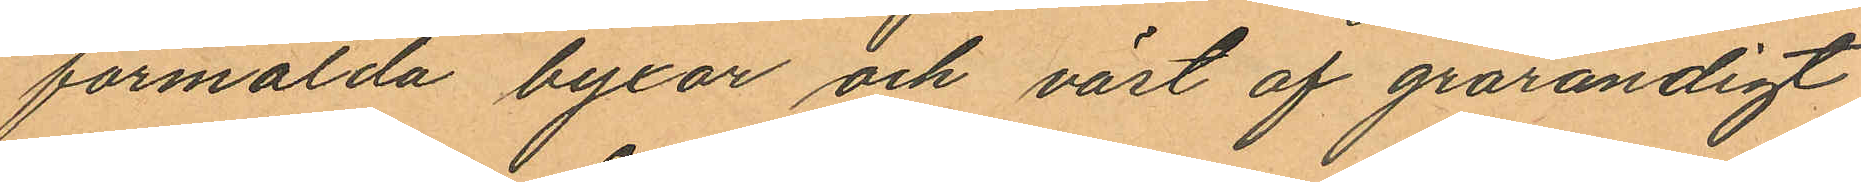förmälda byxor och väst af grårandigt
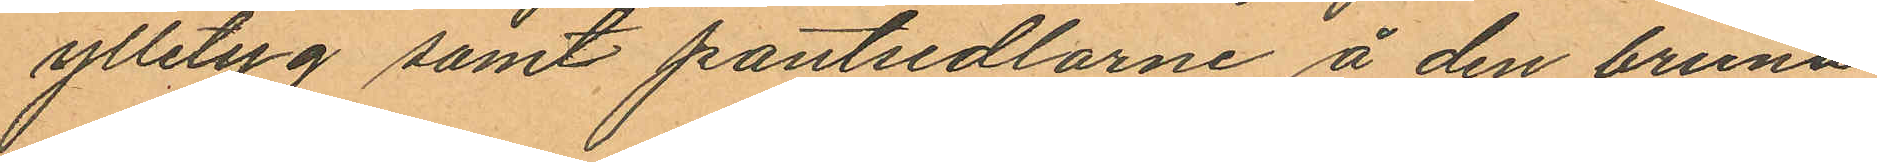ylleterg samt pantsedlarne å den bruna
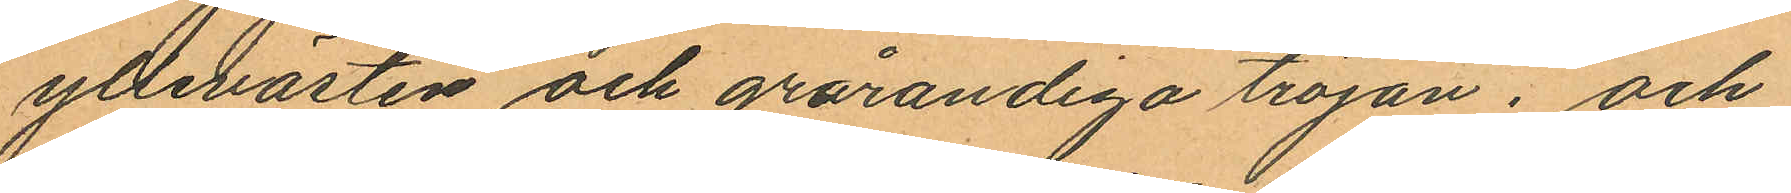yllevästen och grårandiga tröjan; och
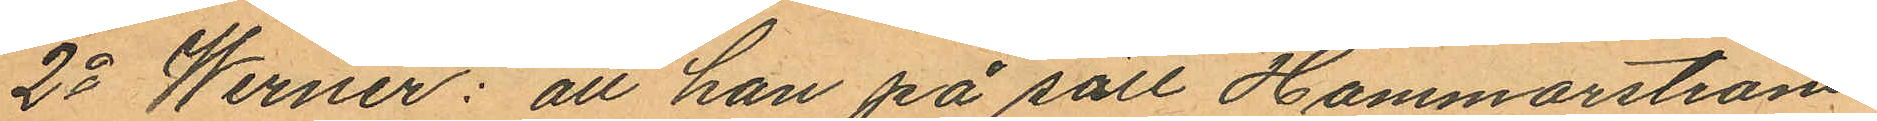2o Werner: att han på sätt Hammarström
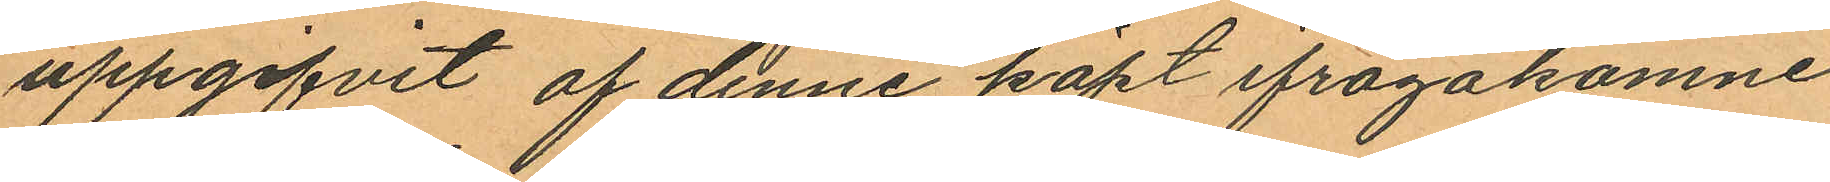uppgifvit af denne köpt ifrågakomne
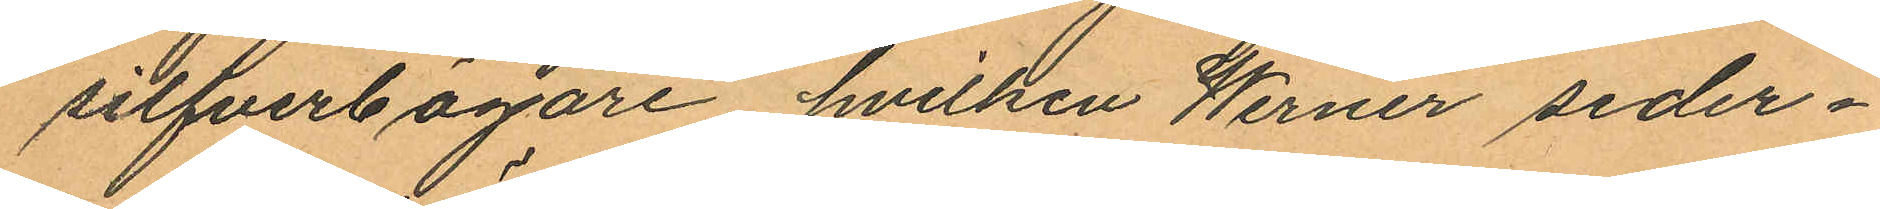silfverbägare, hvilken Werner seder¬
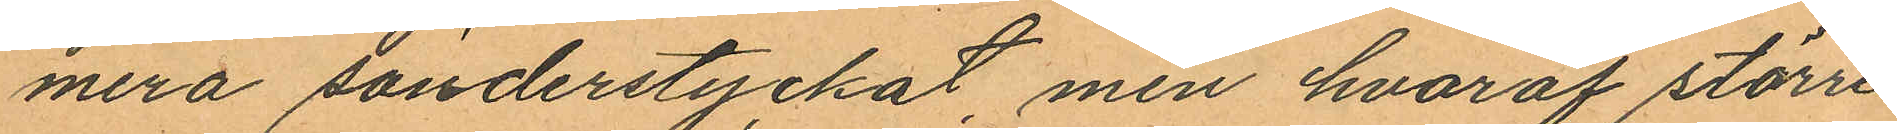mera sönderstyckat, men hvaraf större
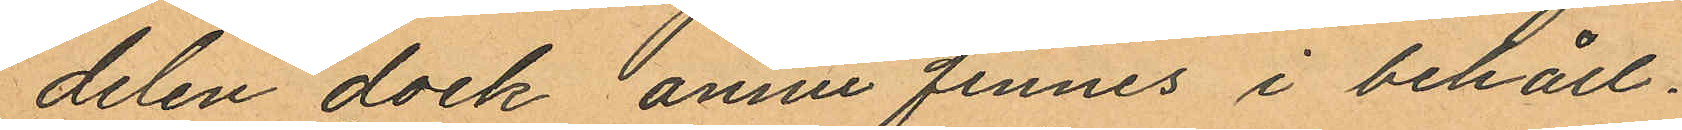delen dock ännu finnes i behåll.
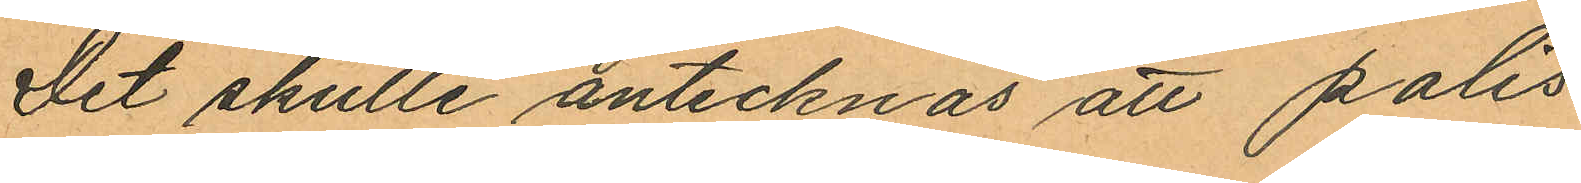Det skulle antecknas att polis¬
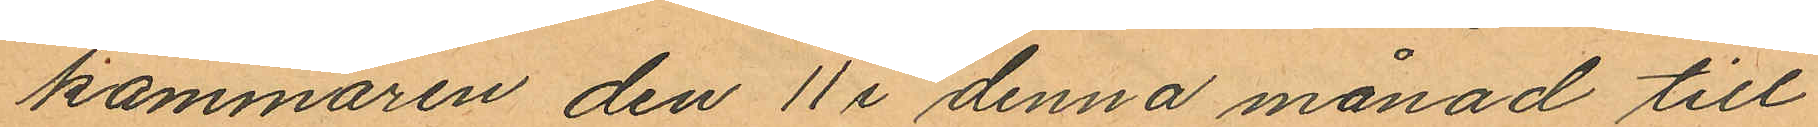kammaren den 11 i denna månad till
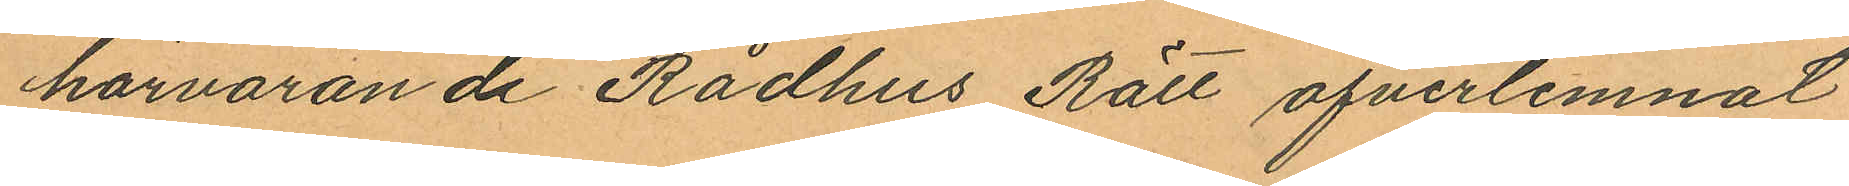härvarande Rådhus Rätt öfverlemnat
